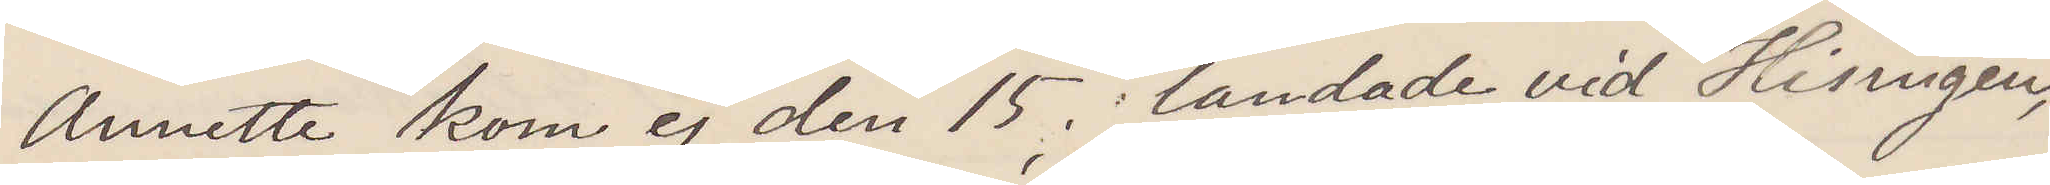Anette kom ej den 15, landade vid Hisingen,
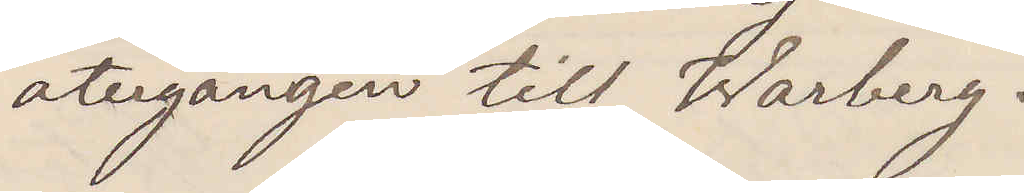återgången till Warberg.
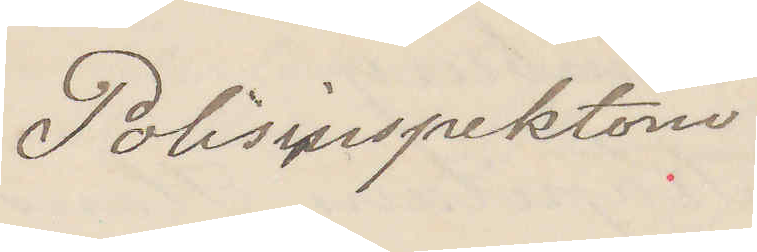Polisinspektorn
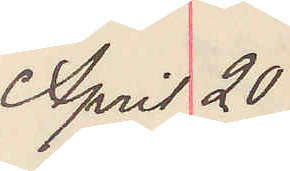April 20
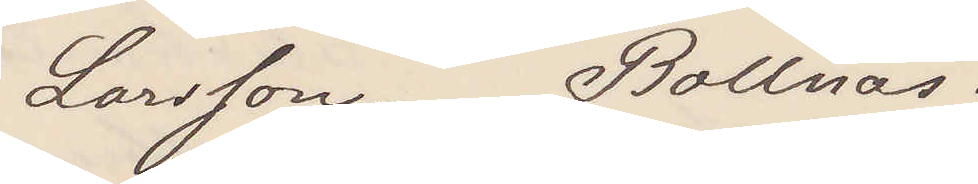Larsson Bollnäs.
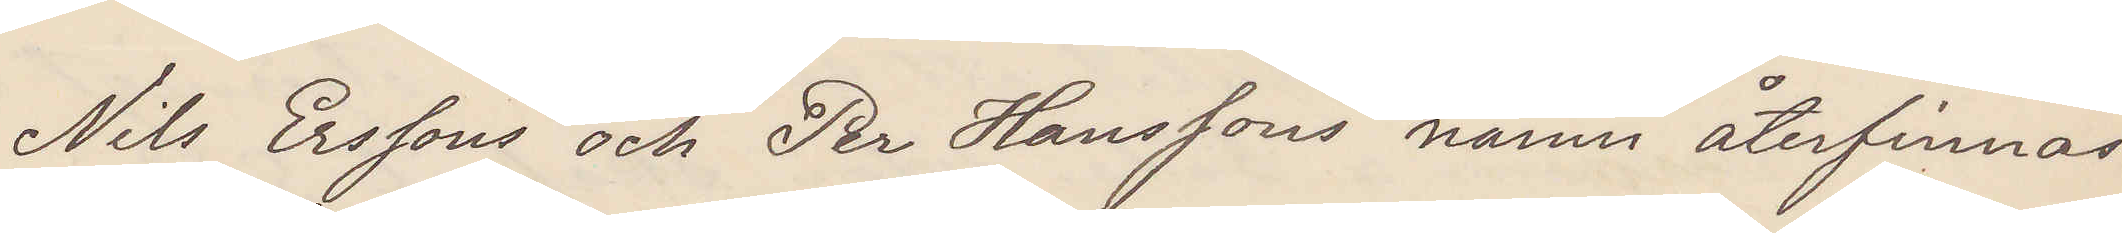Nils Erssons och Per Hanssons namn återfinnas
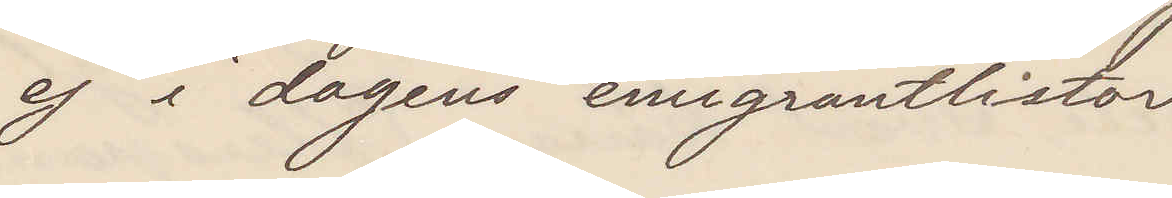ej i dagens emigrantlistor
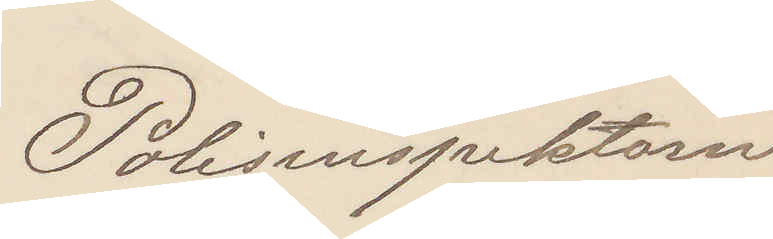Polisinspektorn
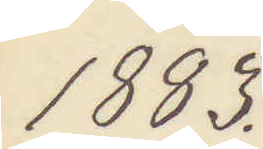1883.
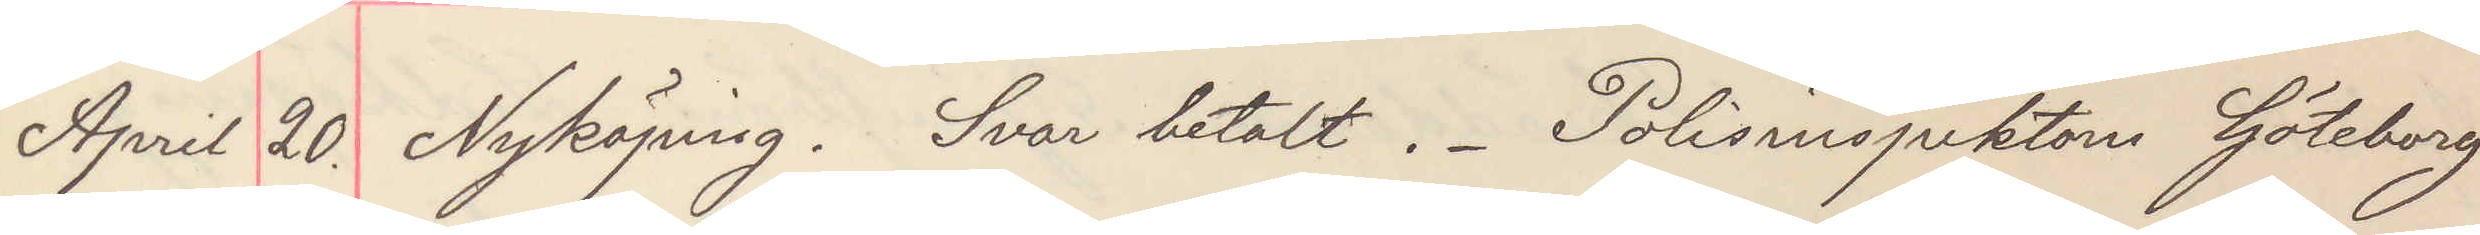April 20. Nyköping. Svar betalt. Polisinspektorn Göteborg
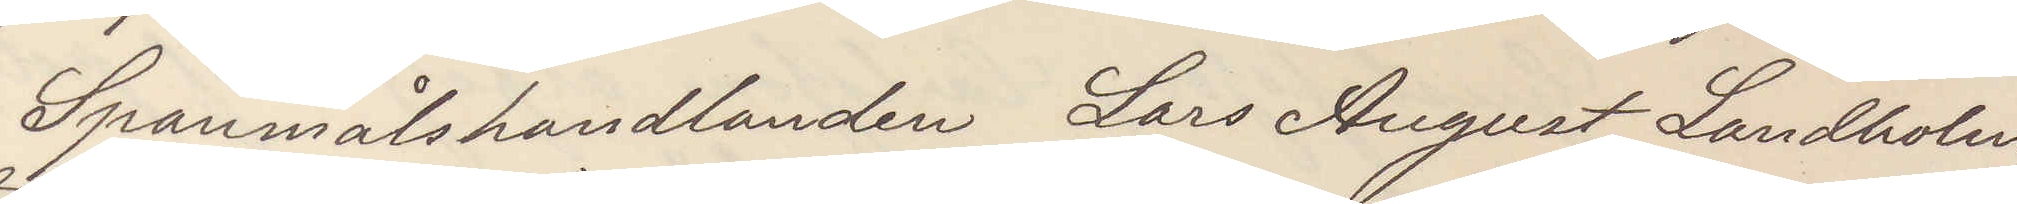Spannmålshandlanden Lars August Landholm,
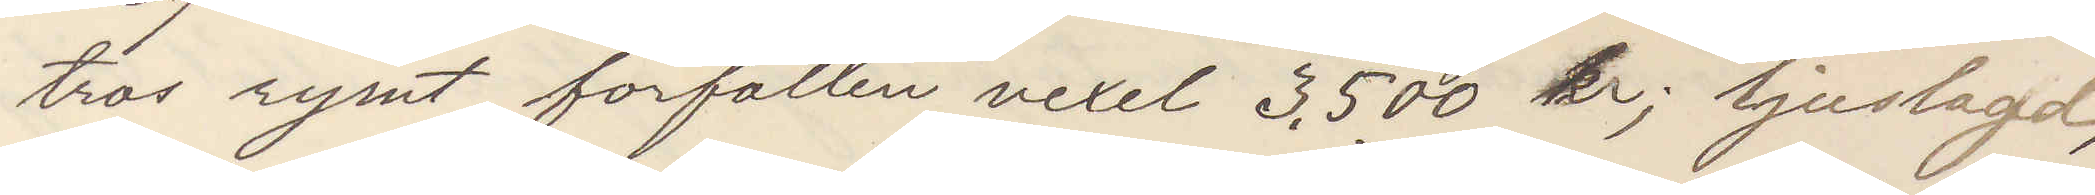tros rymt förfallen vexel 3.500 kr; ljuslagd,
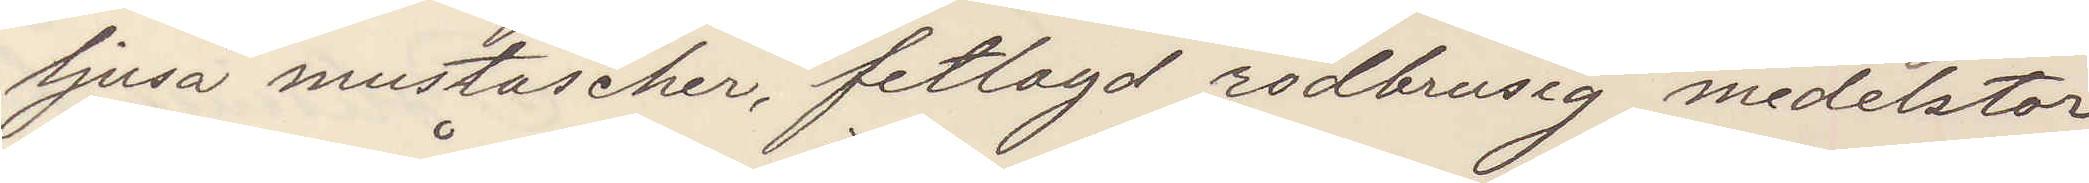ljusa mustascher, fetlagd rödbrusig medelstor
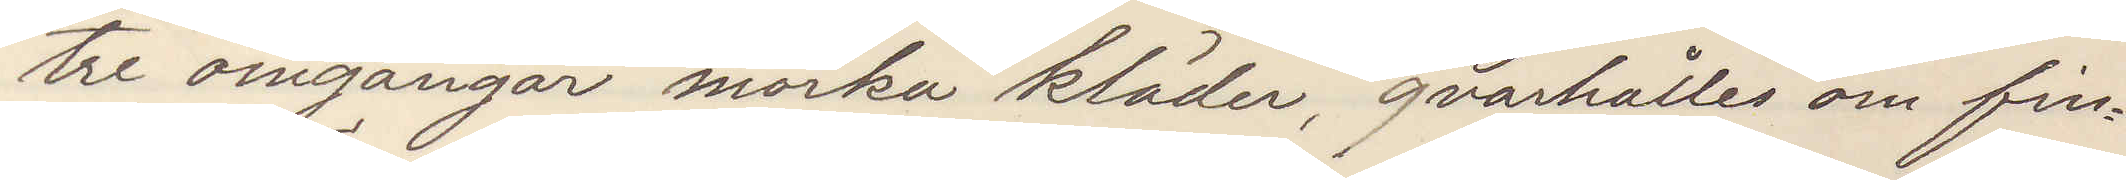tre omgångar mörka kläder, qvarhålles om fin¬
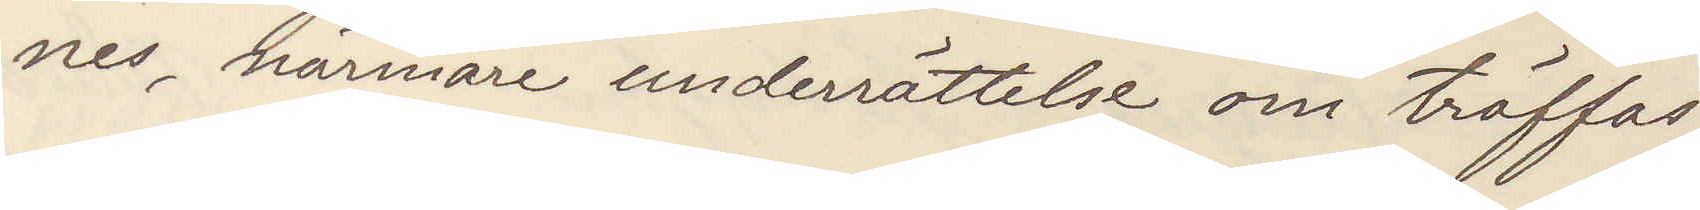nes, närmare underrättelse om träffas.
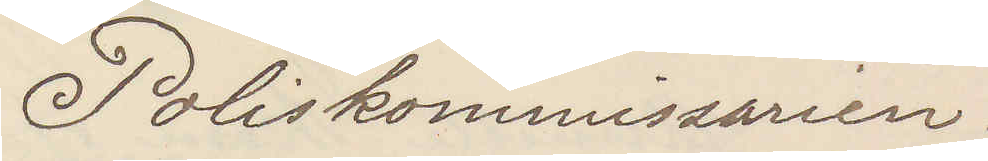Poliskommissarien
